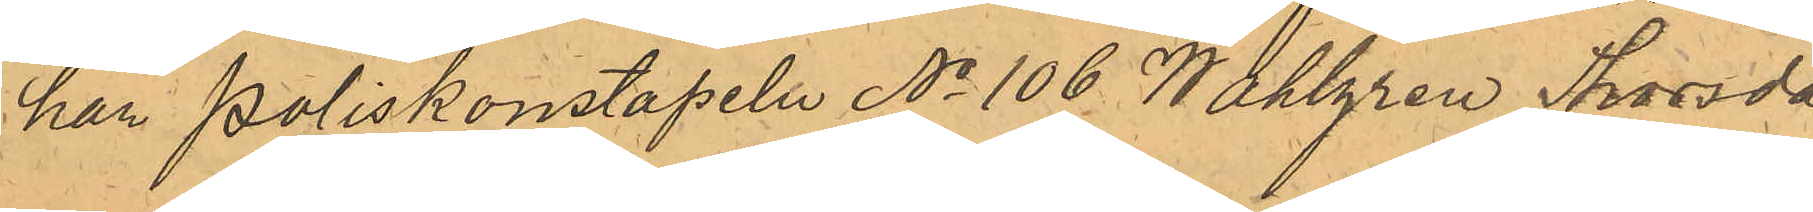har Poliskonstapeln No 106 Wahlgren Thorsda¬
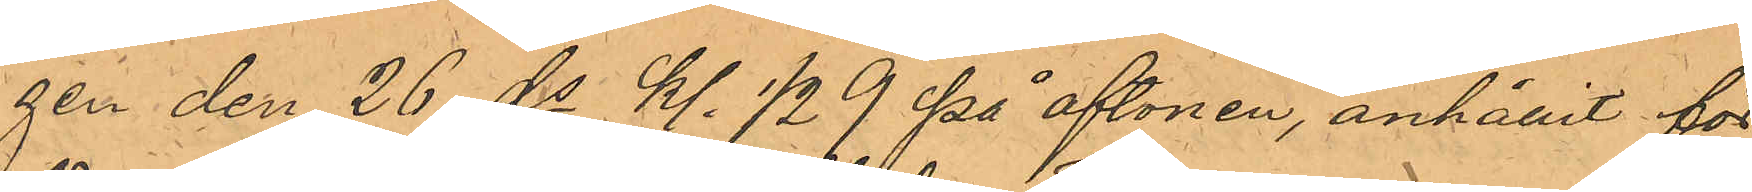gen den 26 ds kl. 1/2 9 på aftonen, anhållit för
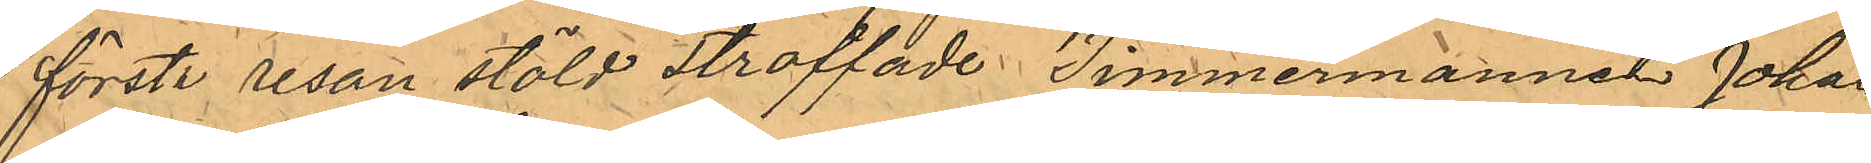första resan stöld straffade Timmermannen Johan
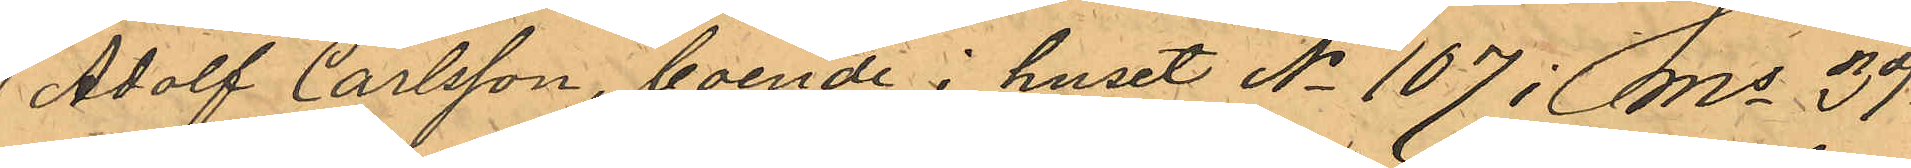Adolf Carlsson, boende i huset No 107 i Ms 3dje
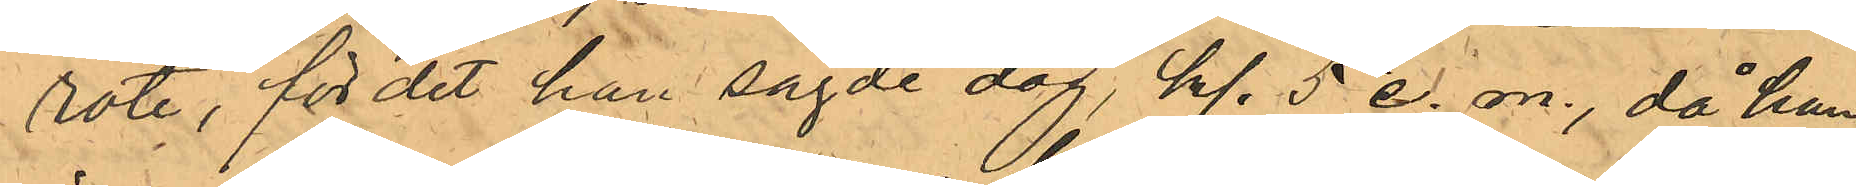rote, för det han sagde dag, kl. 5 e. m., då han
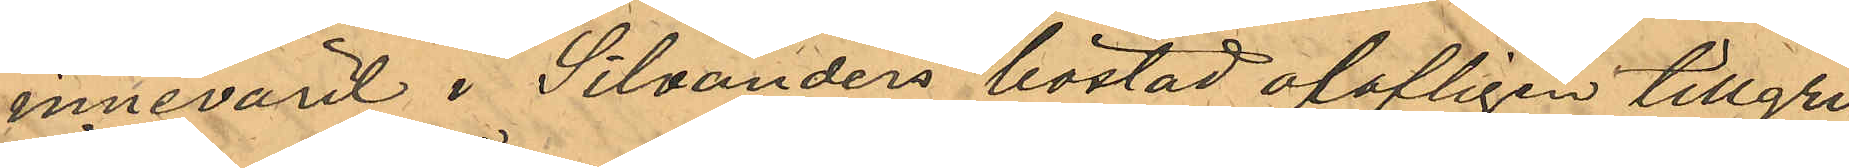innevarit i Silvanders bostad olofligen tillgri¬
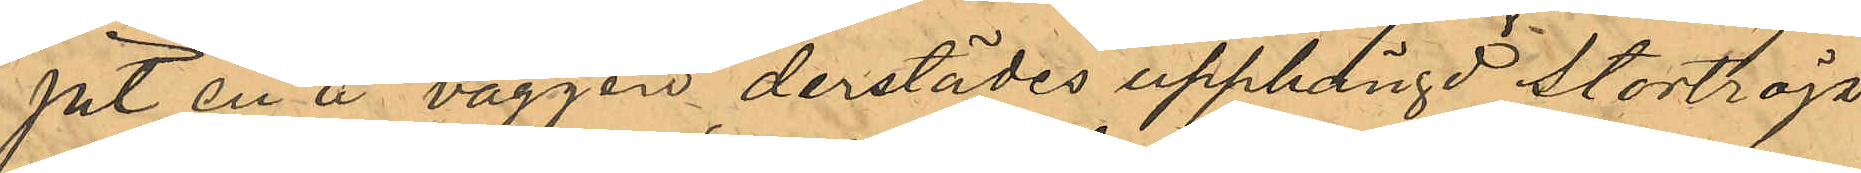pit en å väggen derstädes upphängd stortröja
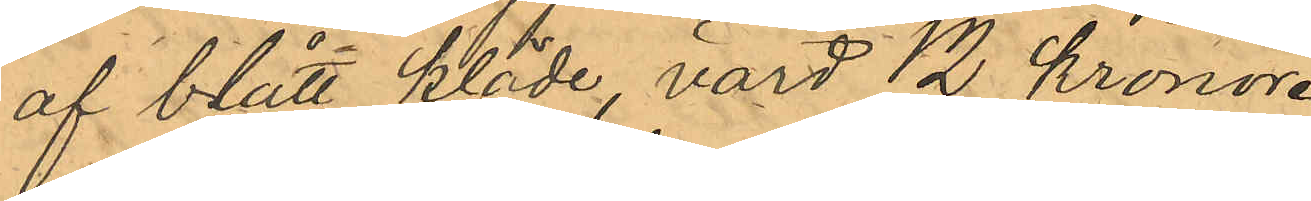af blått kläde, värd 12 kronor.
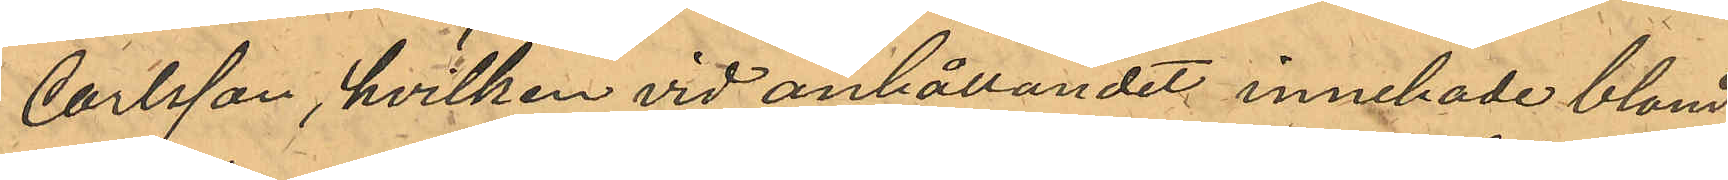Carlsson, hvilken vid anhållandet innehade bland
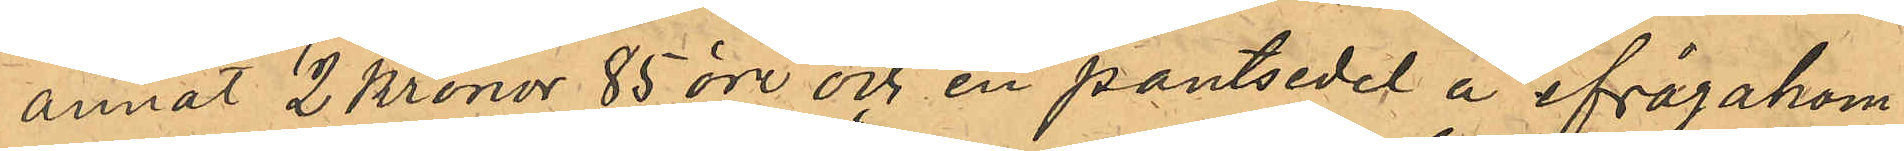annat 2 Kronor 85 öre och en pantsedel å ifrågakom¬
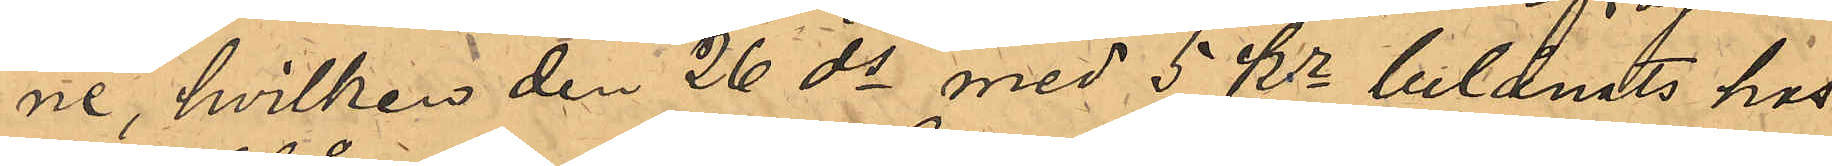ne, hvilken den 26 ds med 5 Kr belånats hos
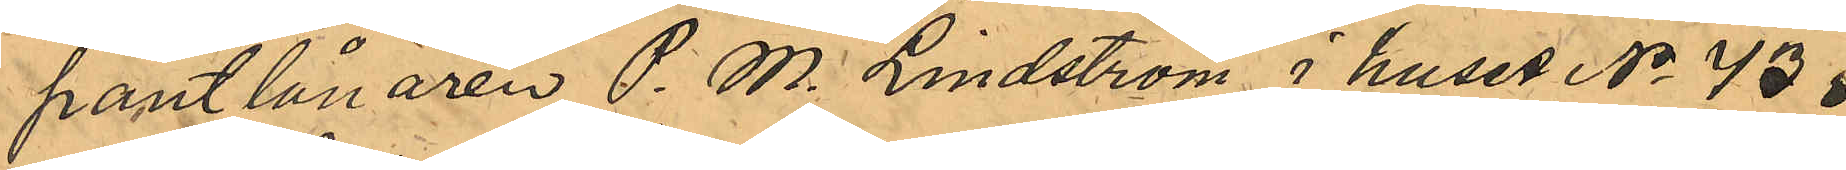pantlånaren P. M. Lindström i huset No 43 i
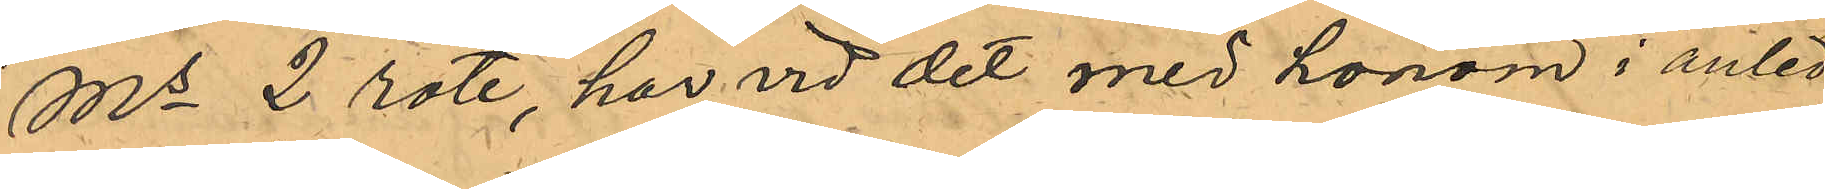Ms 2 rote, har vid det med honom i anled¬
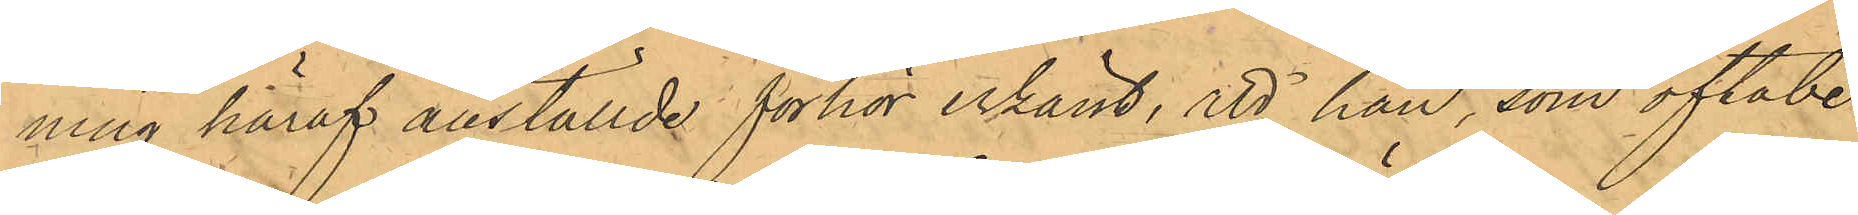ning häraf anställde förhör erkänt, att han, som oftabe¬
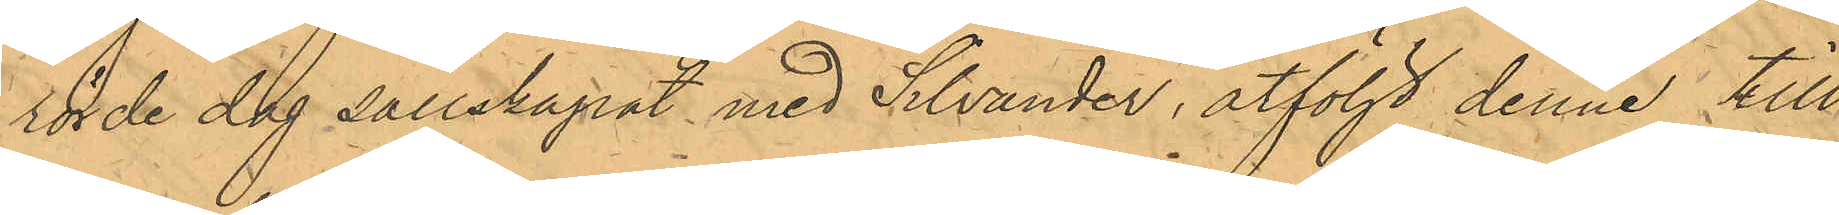rörde dag sällskapat med Silvander, åtföljt denne till
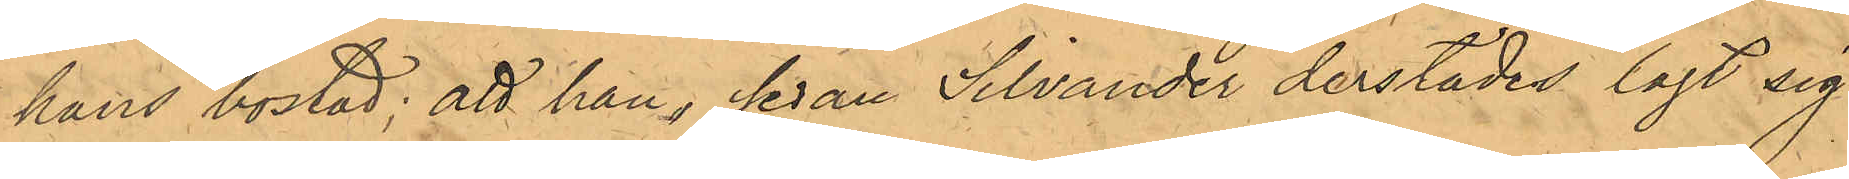hans bostad; att han, sedan Silvander derstädes lagt sig
